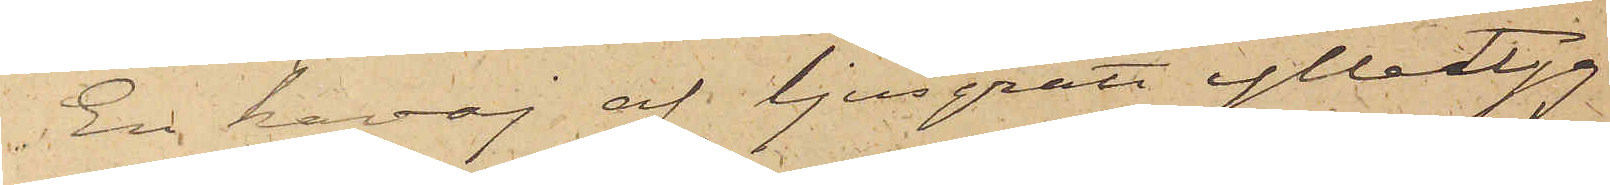En kavaj af ljusgrått ylletyg
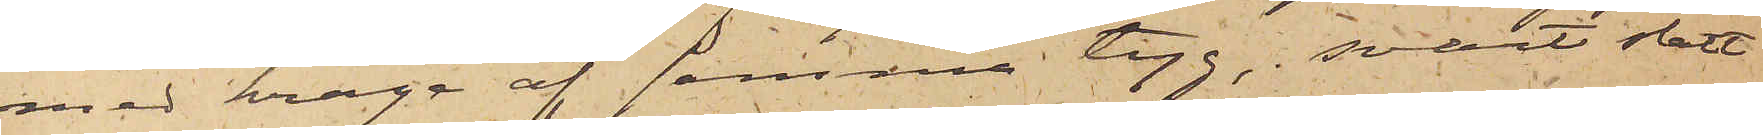med krage af samma tyg, svart slätt
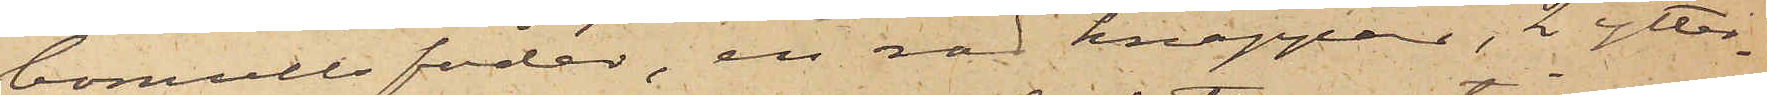bomullsfoder, en rad knappar, 2 ytter¬
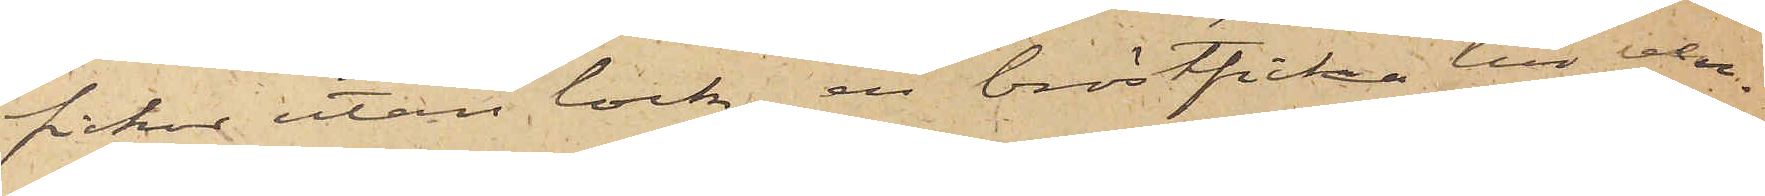fickor utan lock, en bröstficka till ven¬
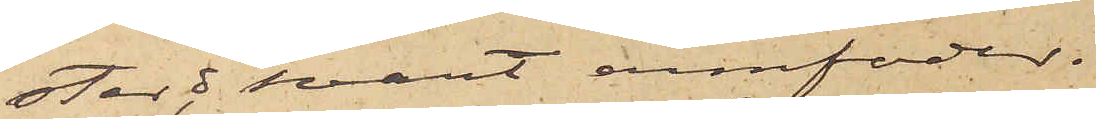ster, o svart armfoder.
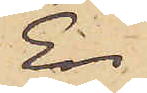En
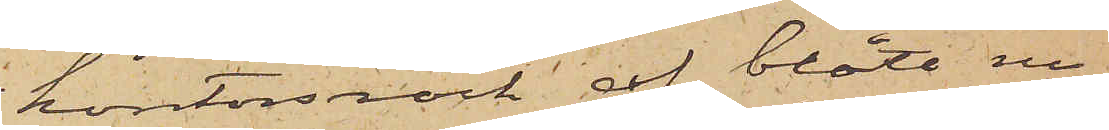kontorsrock af blått ru¬
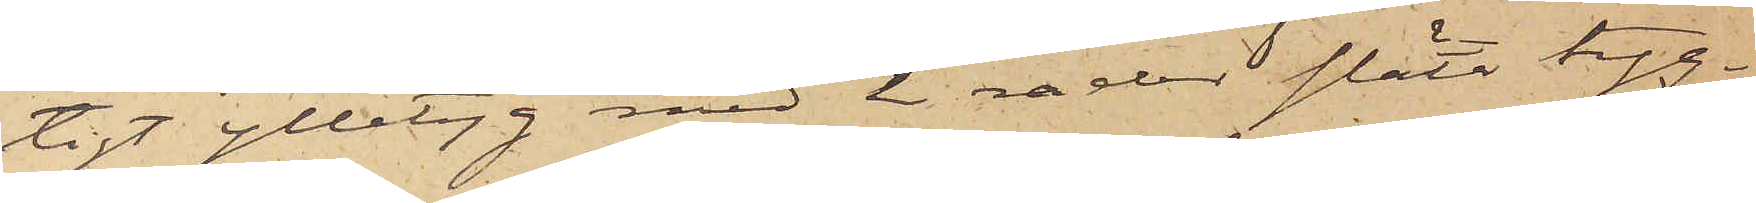tigt ylletyg med 2 rader släta tyg¬
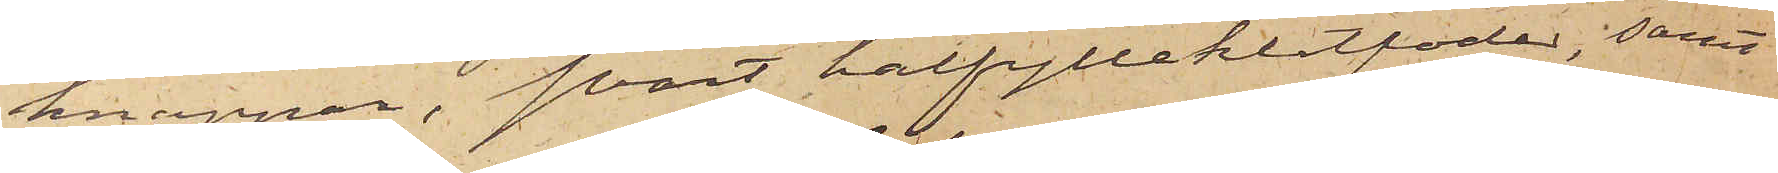knappar, svart halfylleklotfoder; samt
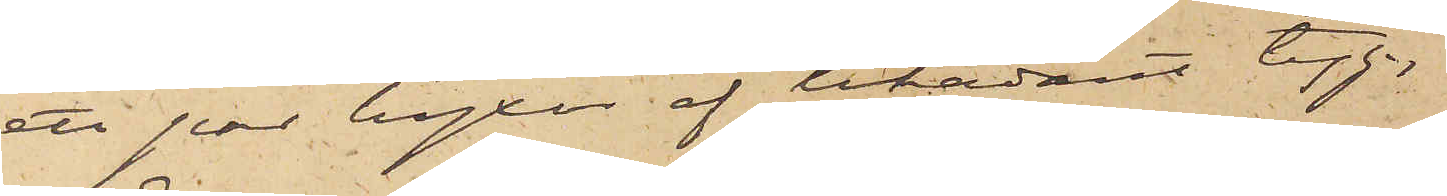ett par byxor af likadant tyg.
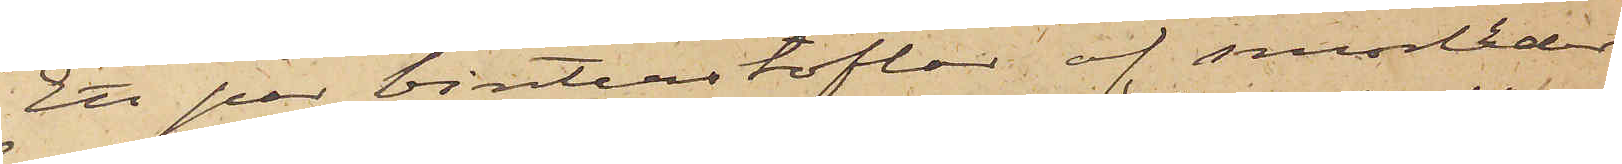Ett par vinterstöflar af smorläder
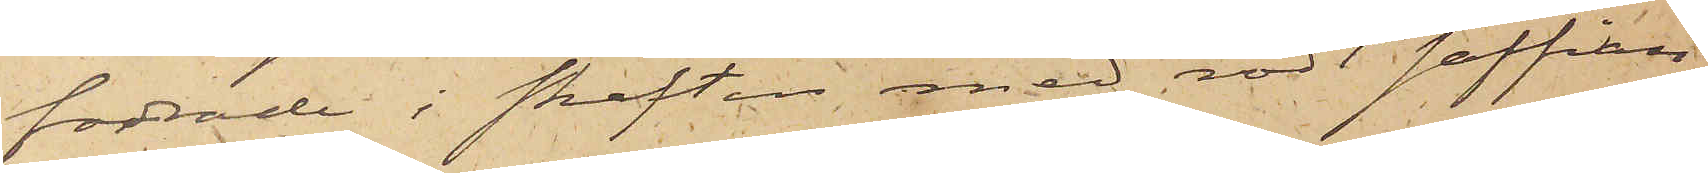fodrade i skaften med rödt saffian,
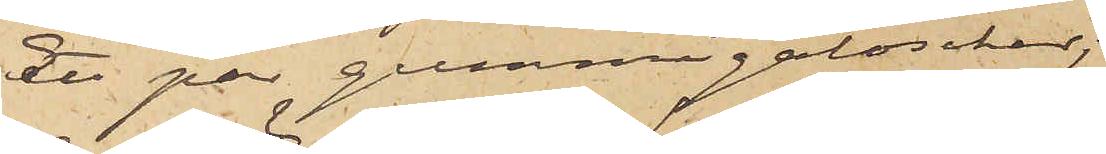Ett par gummigaloscher;
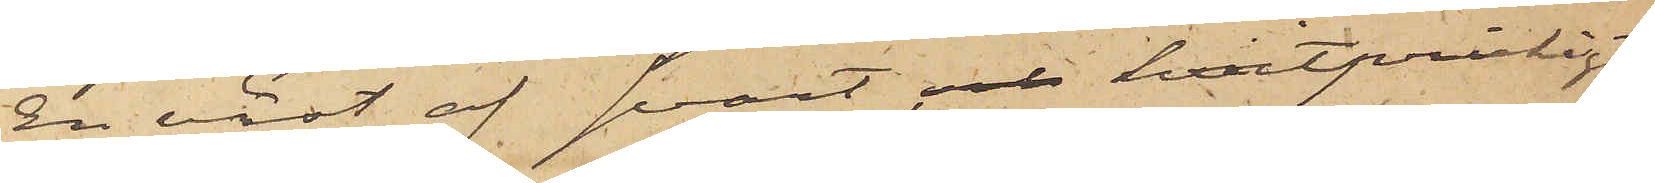En väst af svart och hvitprickigt
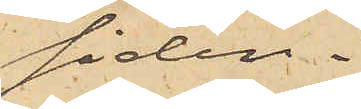siden.
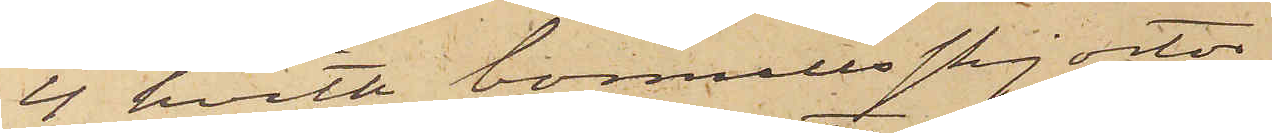4 hvita bomullsskjortor.
